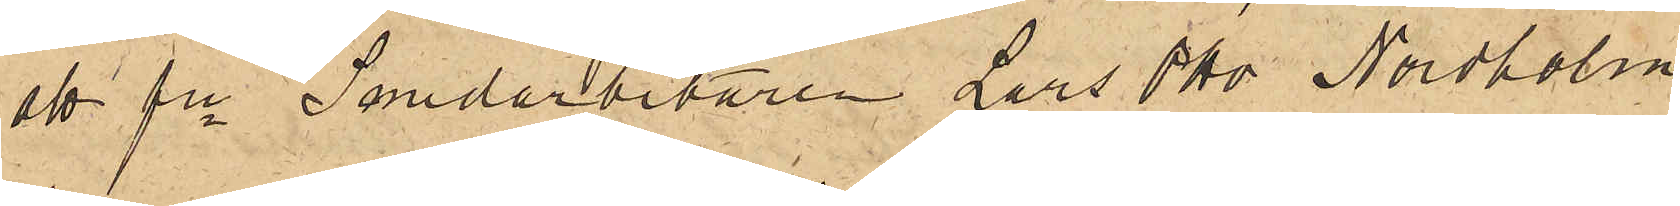att fre Smedarbetaren Lars Otto Nordholm
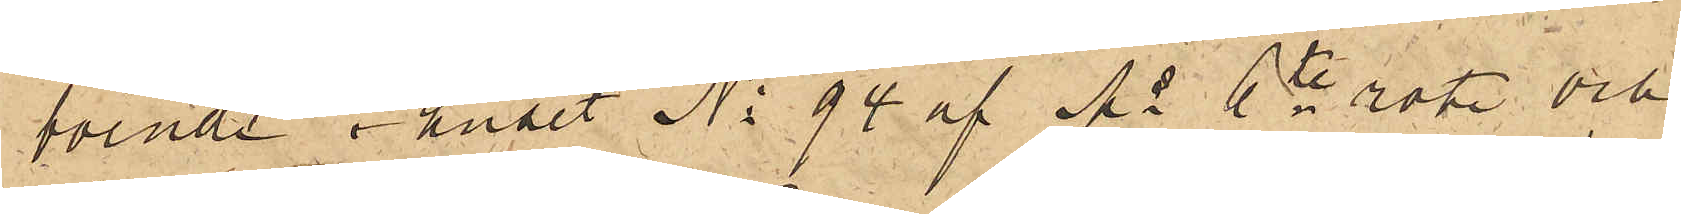boende i huset No 94 af Ms 6te rote och
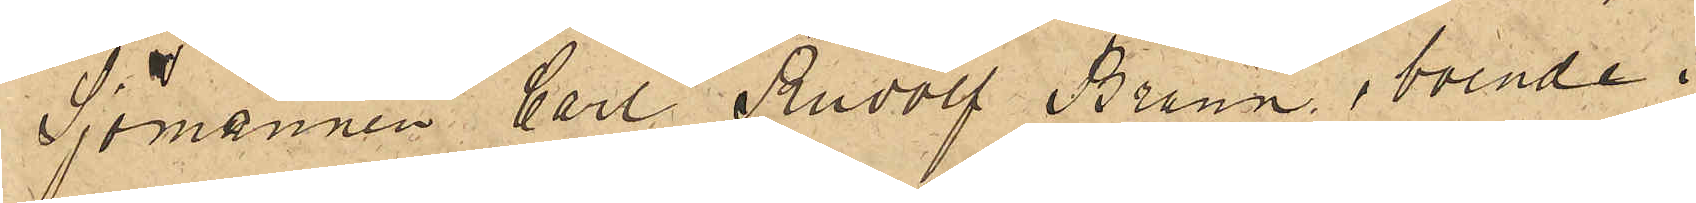Sjömannen Carl Rudolf Brann, boende i
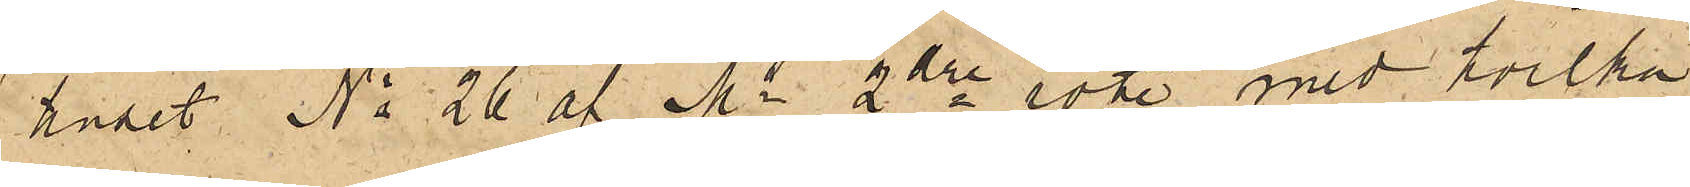huset No 26 af Ms 2dre rote med hvilka
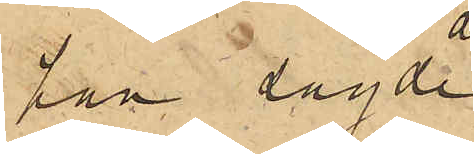han sagde
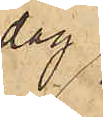dag
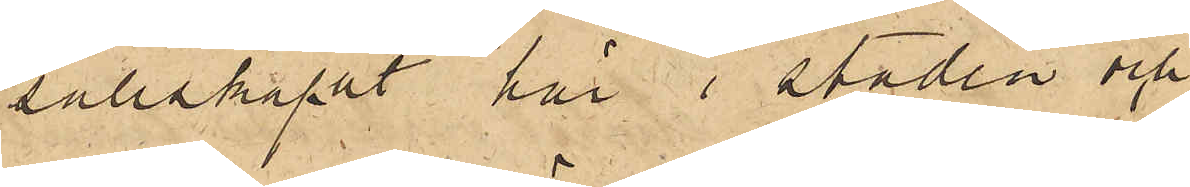sällskapat här i staden och
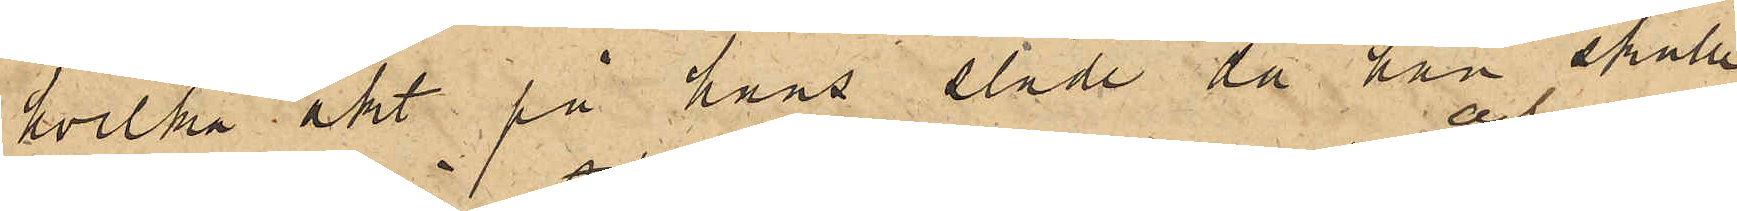hvilka åkt på hans släde då han skulle
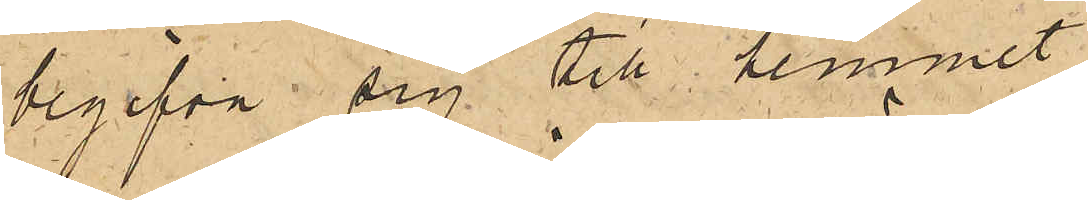begifva sig till hemmet
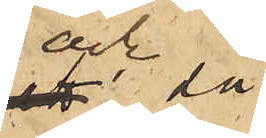och då
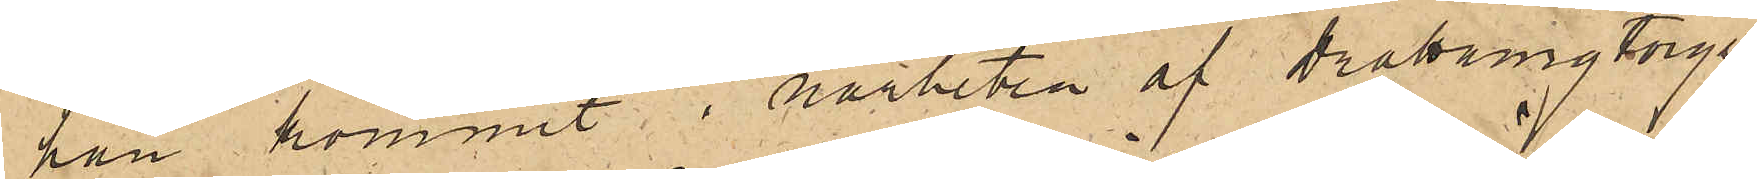han kommit i närheten af Drottningtorget,
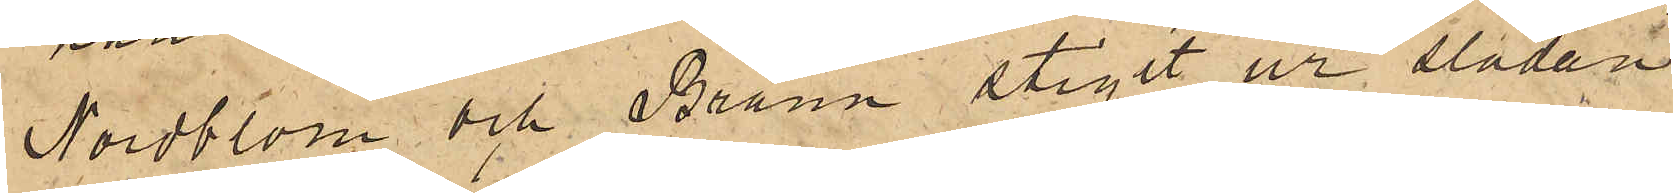Nordblom och Brann stigit ur släden
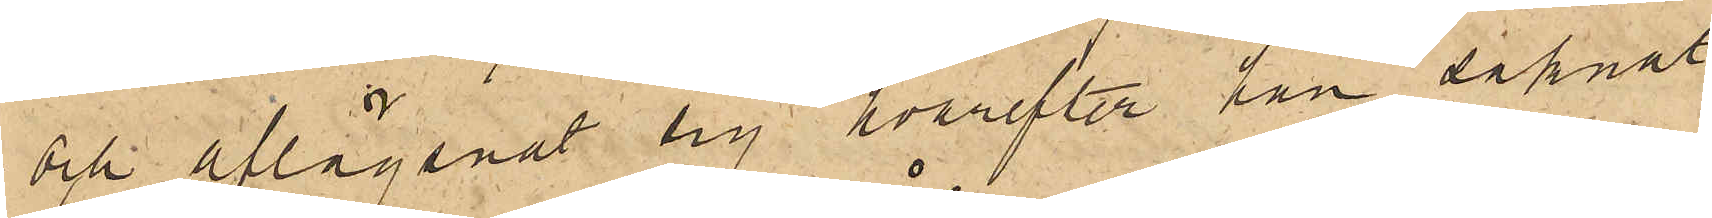och aflägsnat sig, hvarefter han saknat
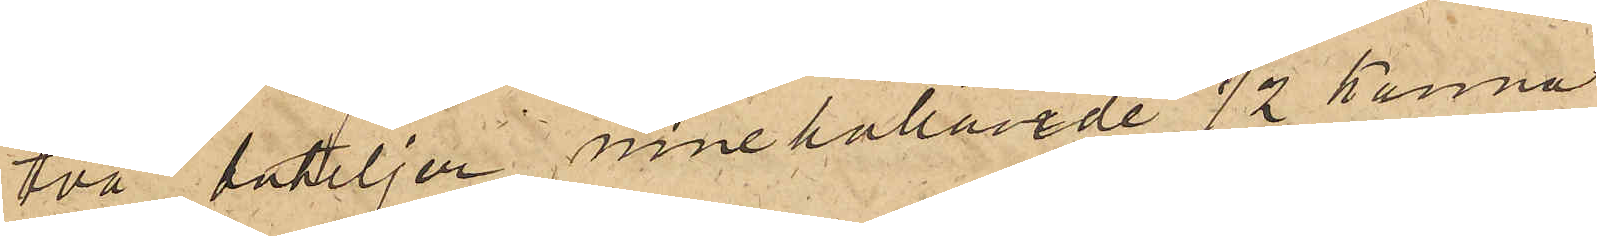två buteljer innehållande 1/2 kanna
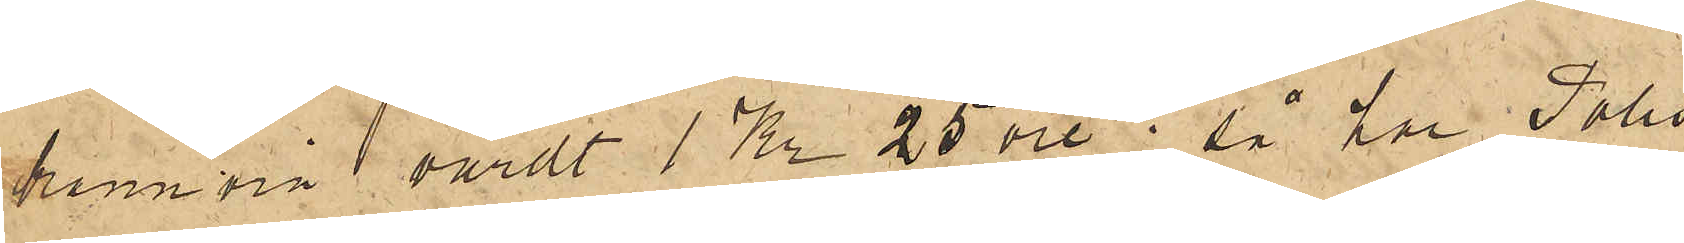bränvin, värdt 1 Kr 25 öre; så har Polis¬
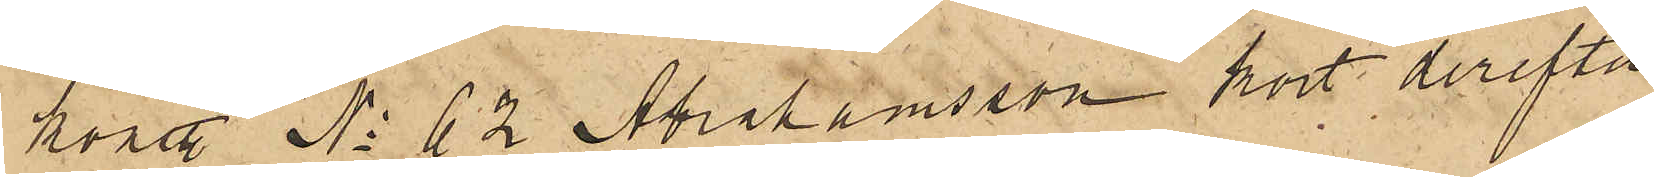konstl No 62 Abrahamsson kort derefter
